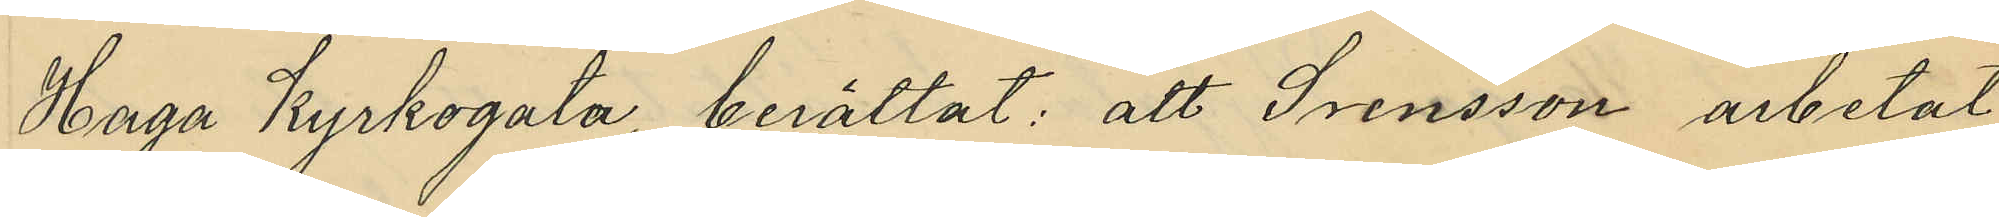Haga Kyrkogata, berättat att Svensson arbetat
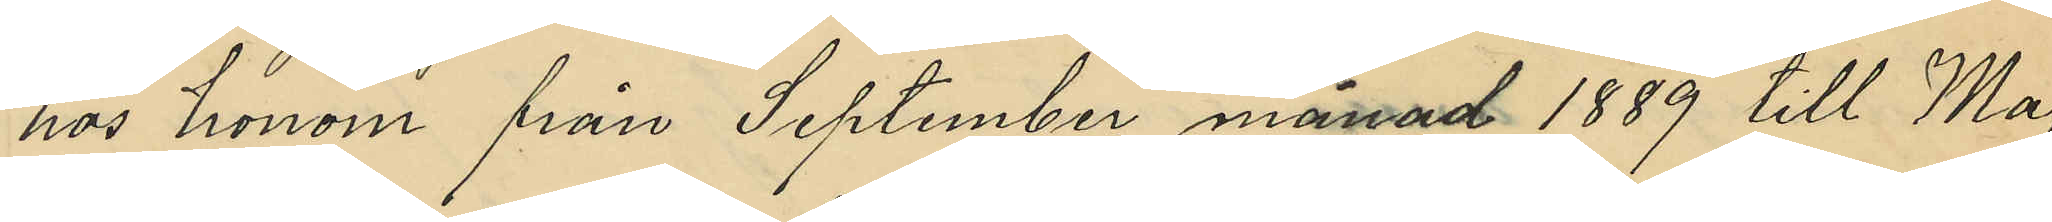hos honom från September månad 1889 till Maj
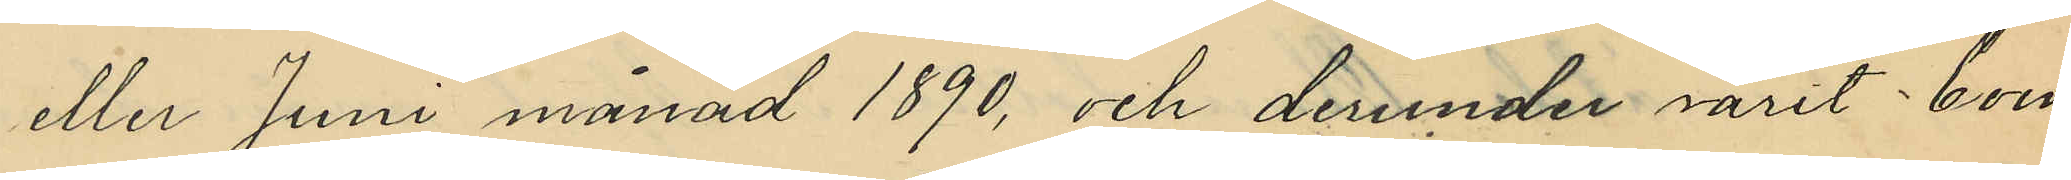eller Juni månad 1890, och derunder varit boen¬
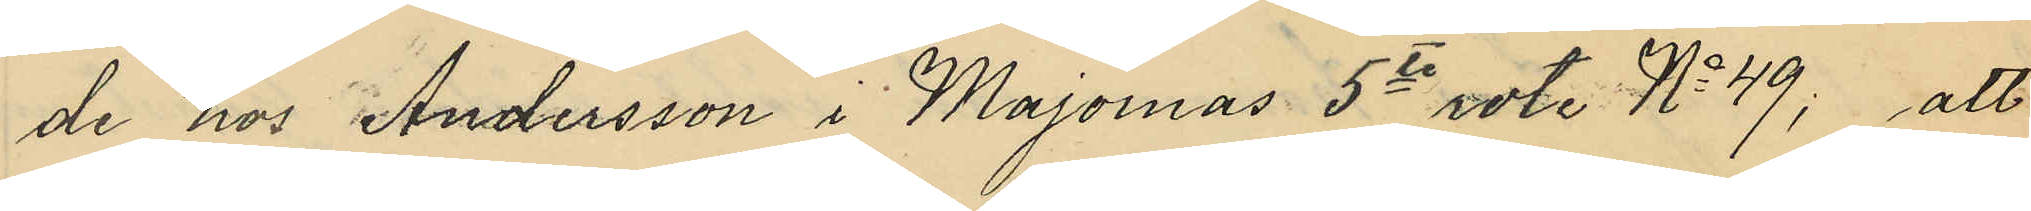de hos Andersson i Majornas 5te rote No 49; att
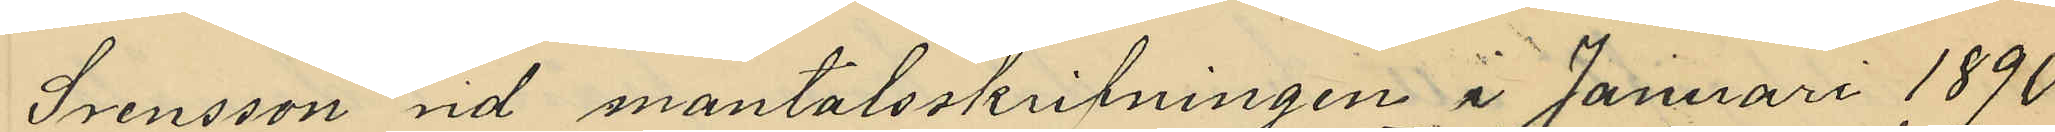Svensson vid mantalsskrifningen i Januari 1890
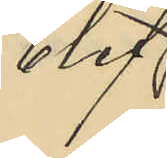blef
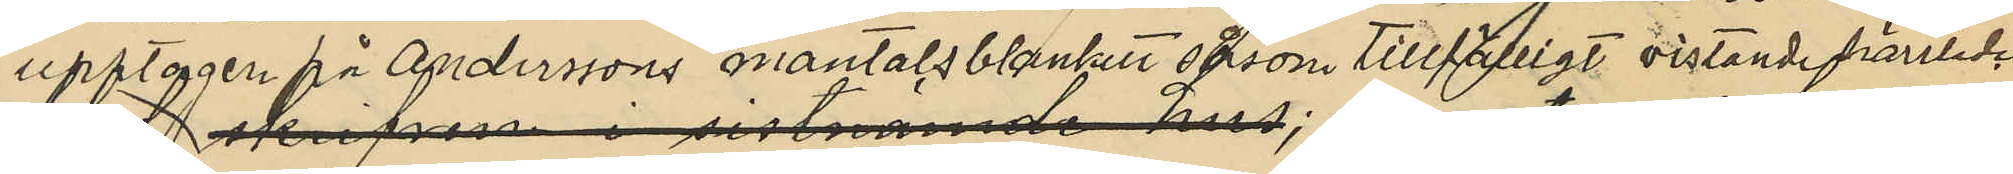upptagen på Anderssons mantalsblankett såsom tillfälligt vistande härstädes;
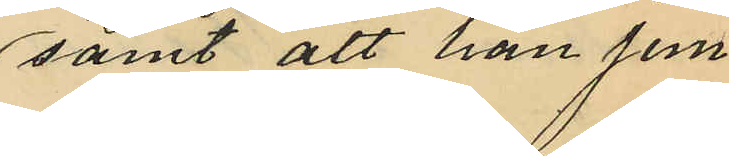samt att han jem¬
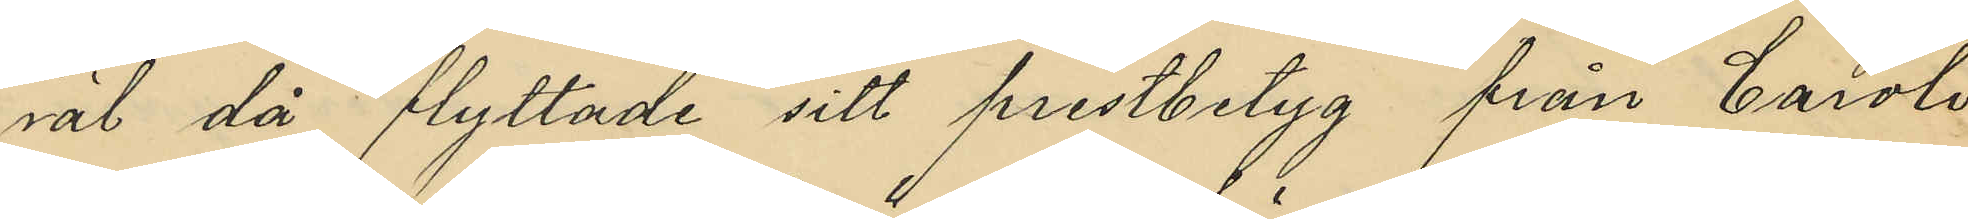väl då flyttade sitt prestbetyg från Caroli
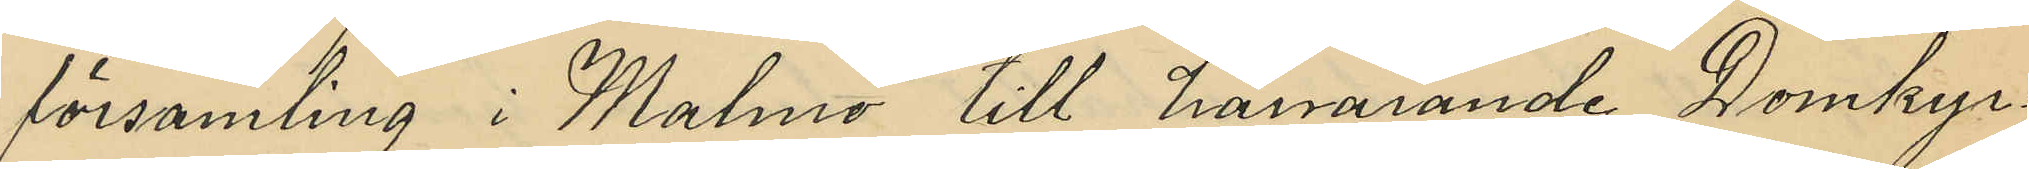församling i Malmö till härvarande Domkyr¬
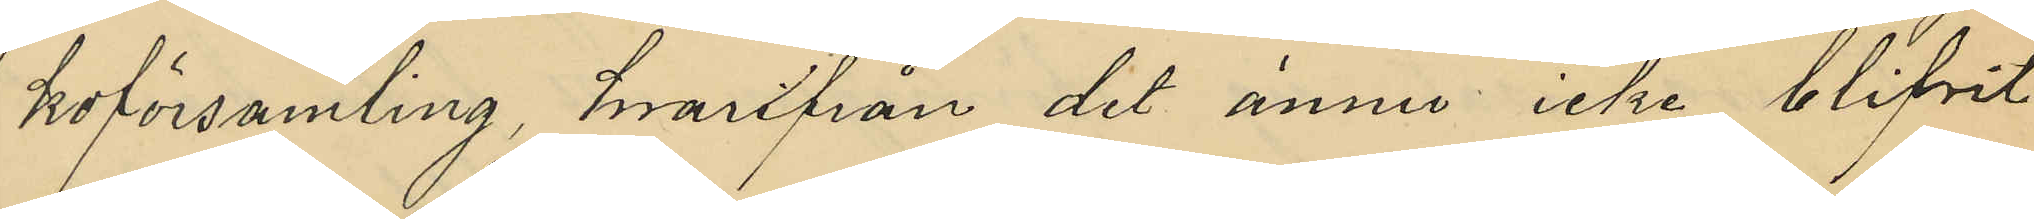koförsamling, hvarifrån det ännu icke blifvit
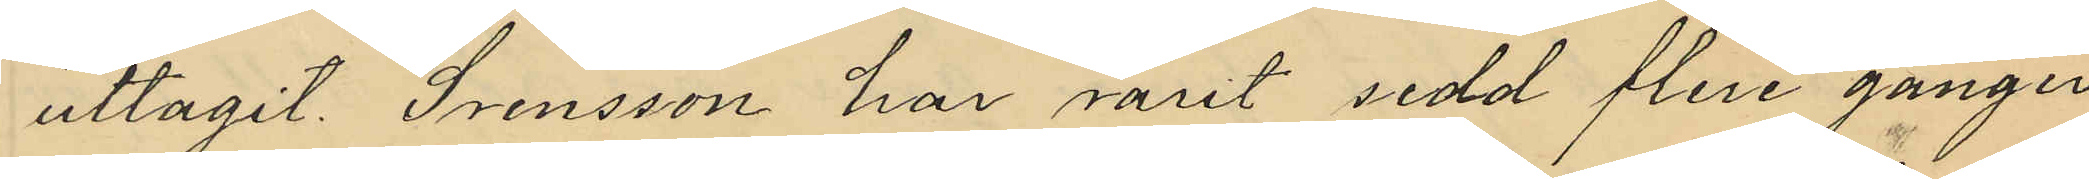uttagit. Svensson har varit sedd flere gånger
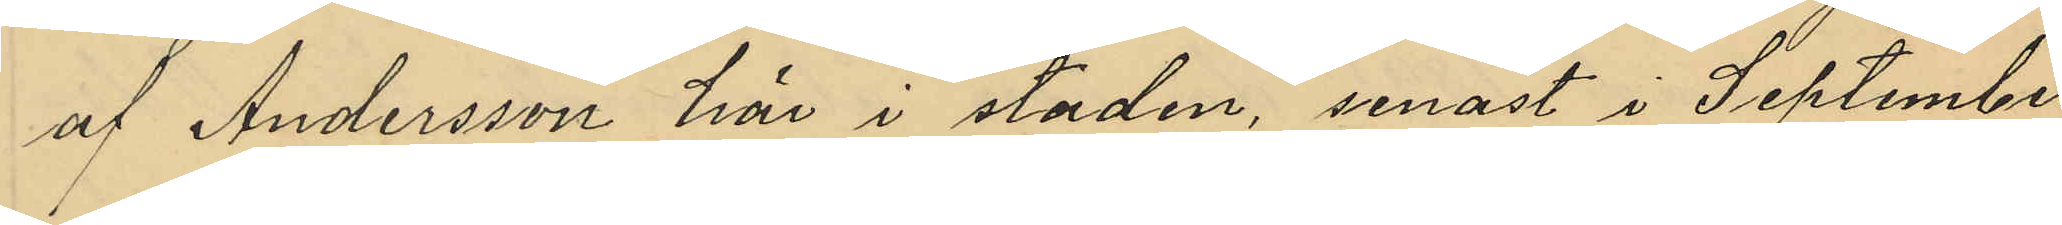af Andersson här i staden, senast i September
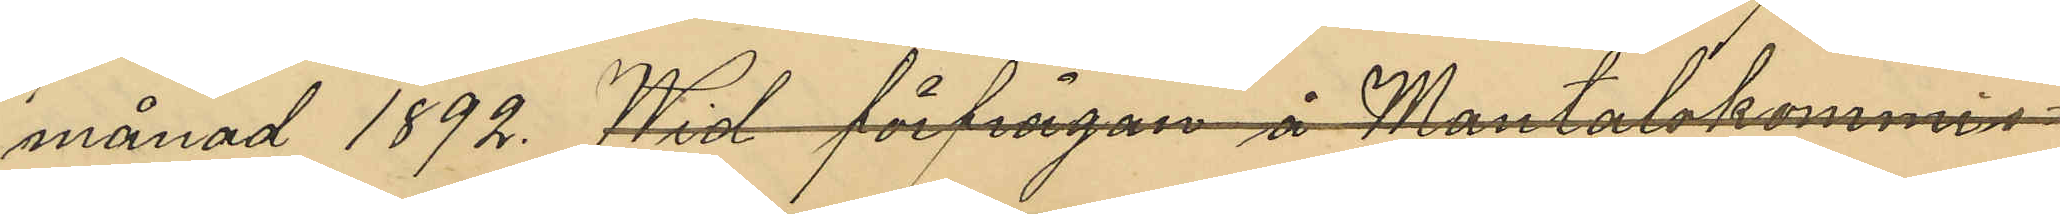månad 1892. Wid förfrågan å Mantalskommis¬
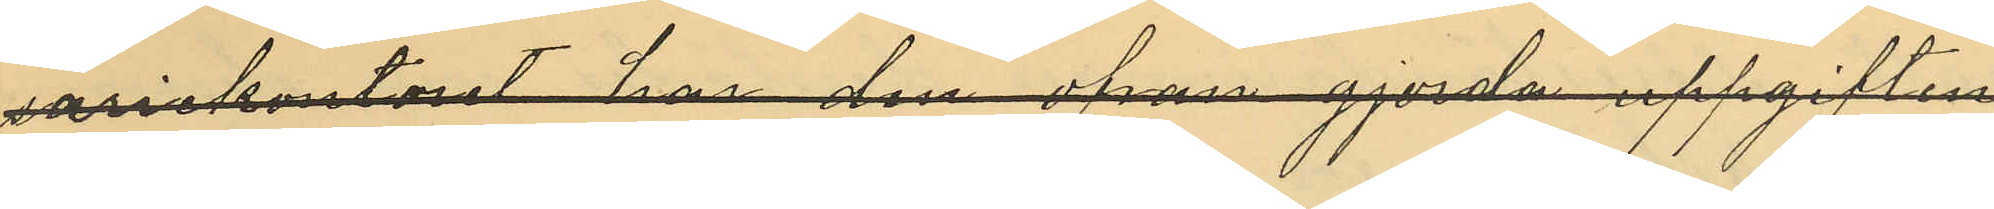ariekontoret  har den ofvan gjorda uppgiften
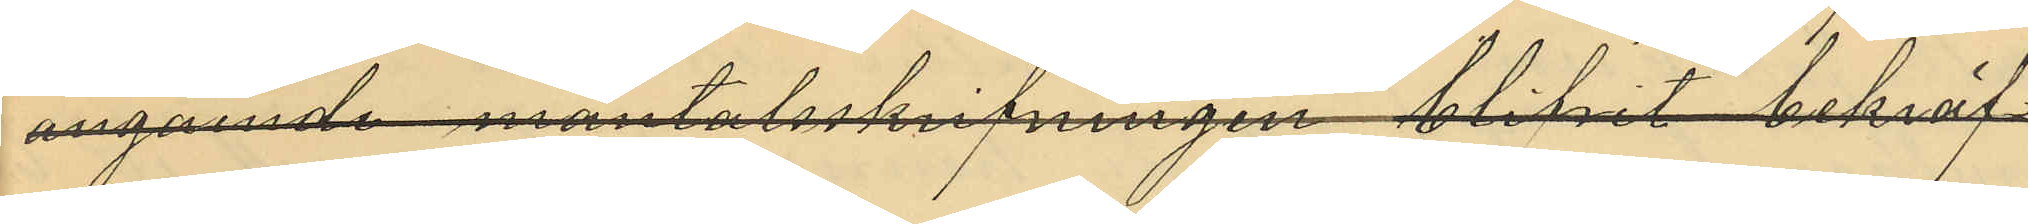angående mantalsskrifvningen blifvit bekräf¬
